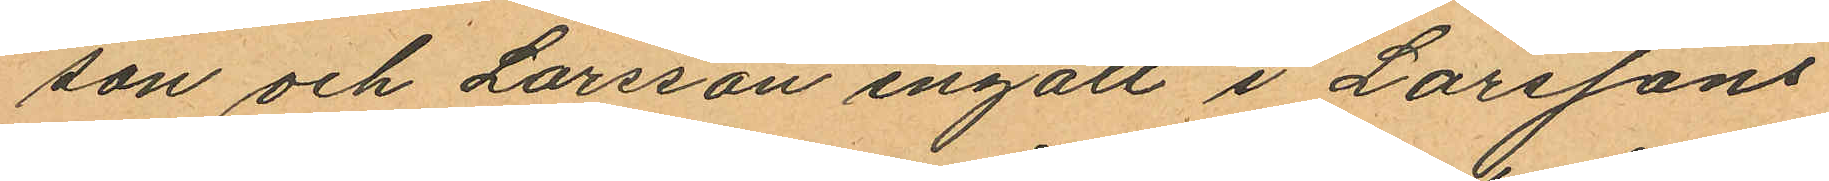son och Larsson ingått i Larssons
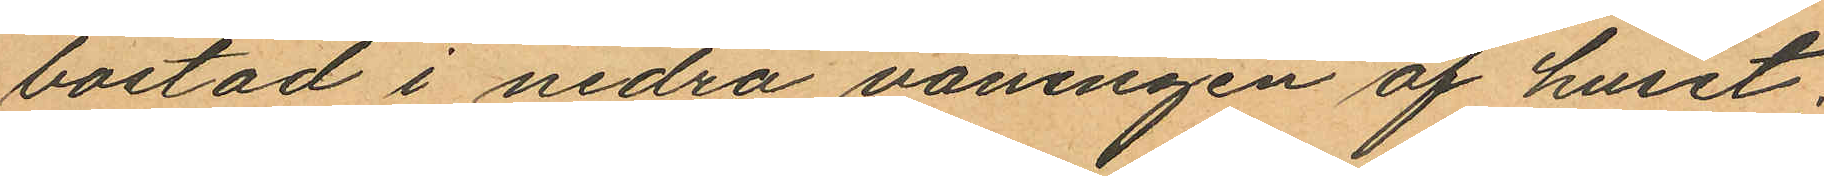bostad i nedra våningen af huset;
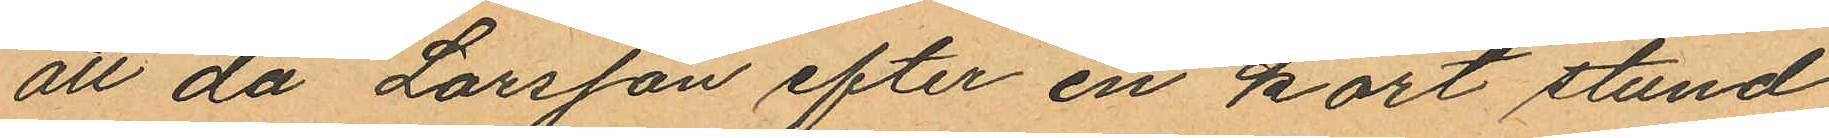att då Larsson efter en kort stund
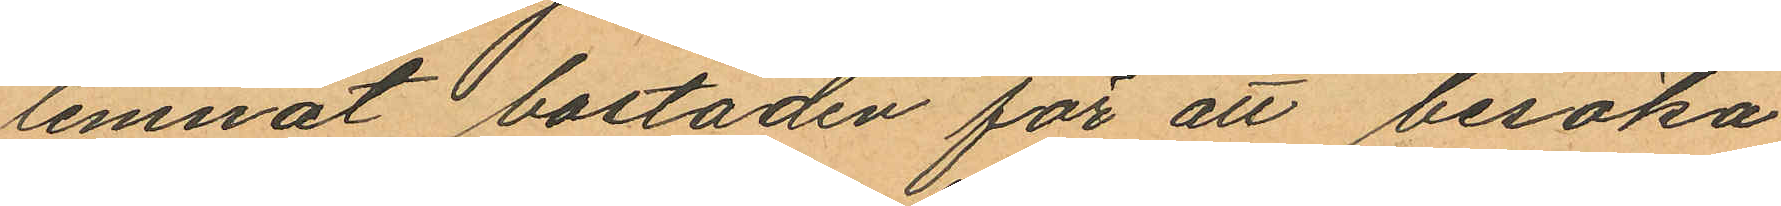lemnat bostaden för att besöka
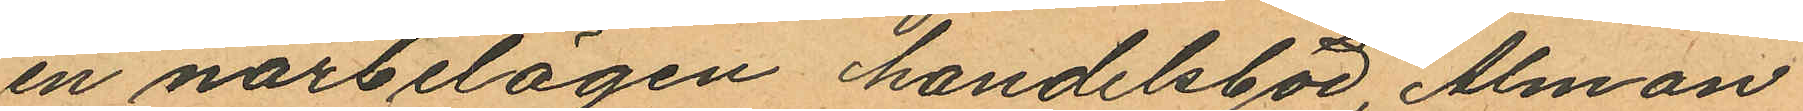en närbelägen handelsbod, Alman
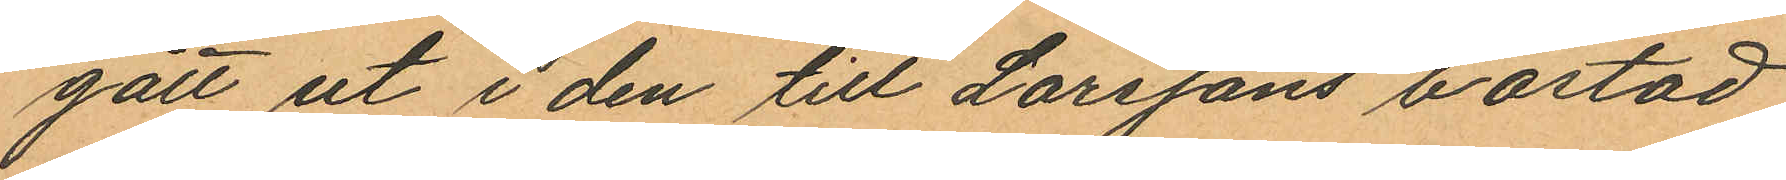gått ut i den till Larssons bostad
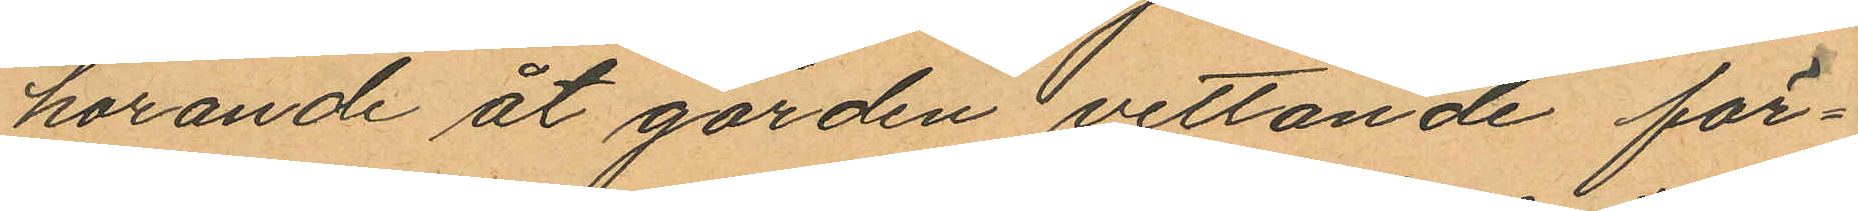hörande åt gården vettande för¬
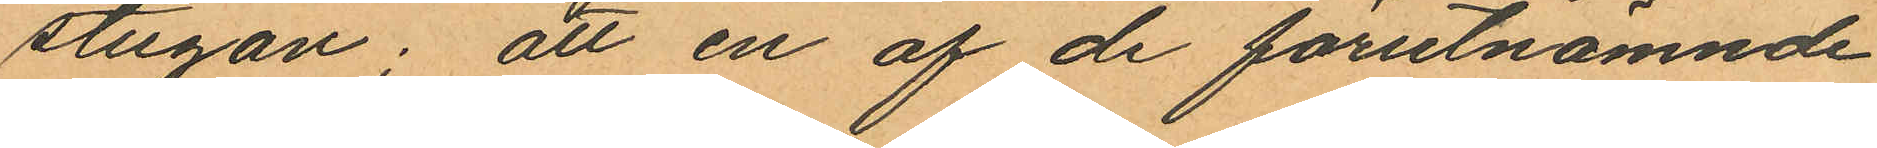stugan; att en af de förutnämnde
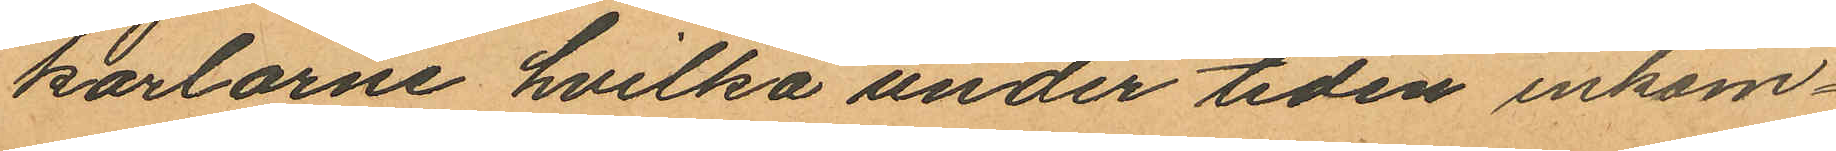karlarne hvilka under tiden inkom¬
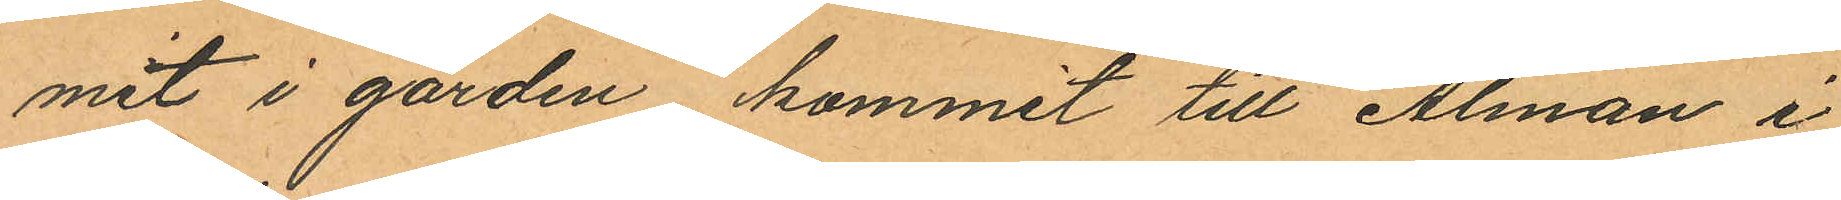mit i gården, kommit till Alman i
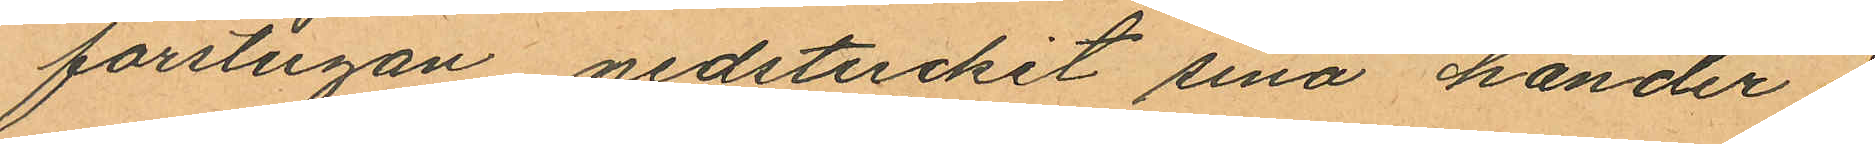förstugan nedstuckit sina händer i
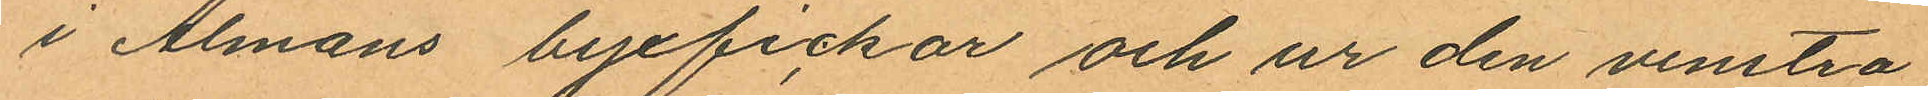i Almans byxfickor och ur den venstra
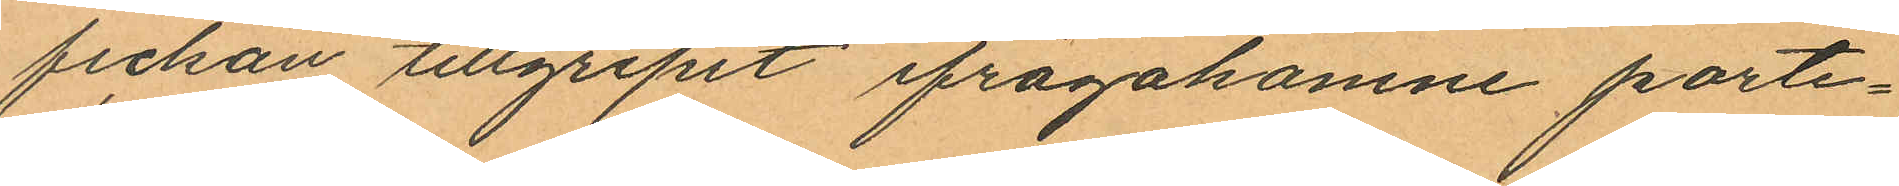fickan tillgripit ifrågakomne porte¬
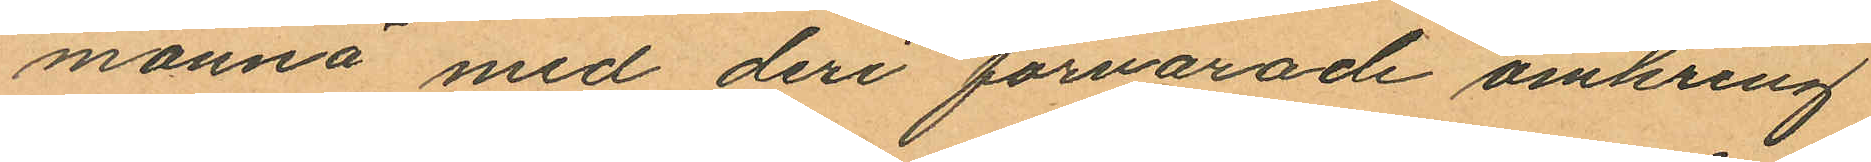monnä med deri förvarade omkring
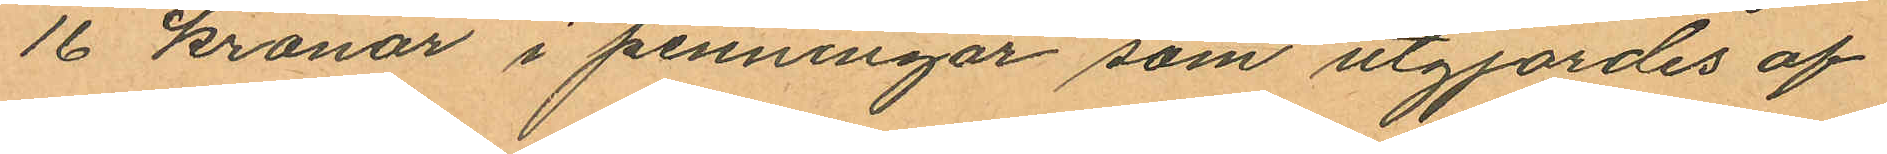16 kronor i penningar som utgjordes af
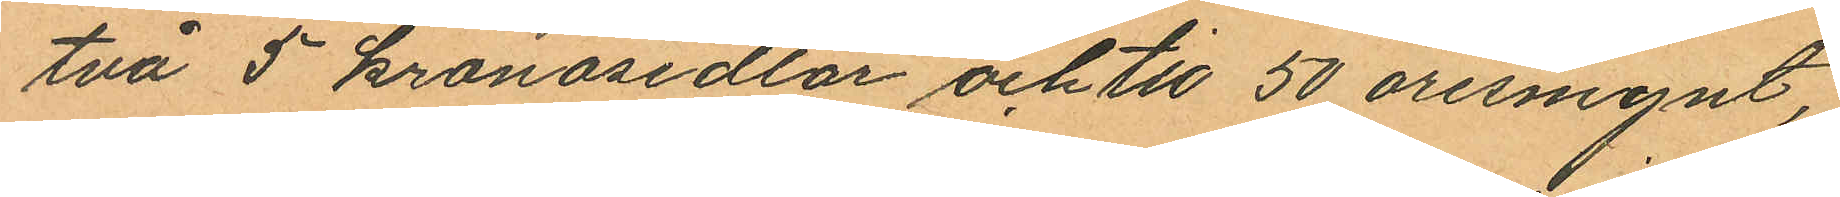två 5 kronosedlar och tio 50 öresmynt,
